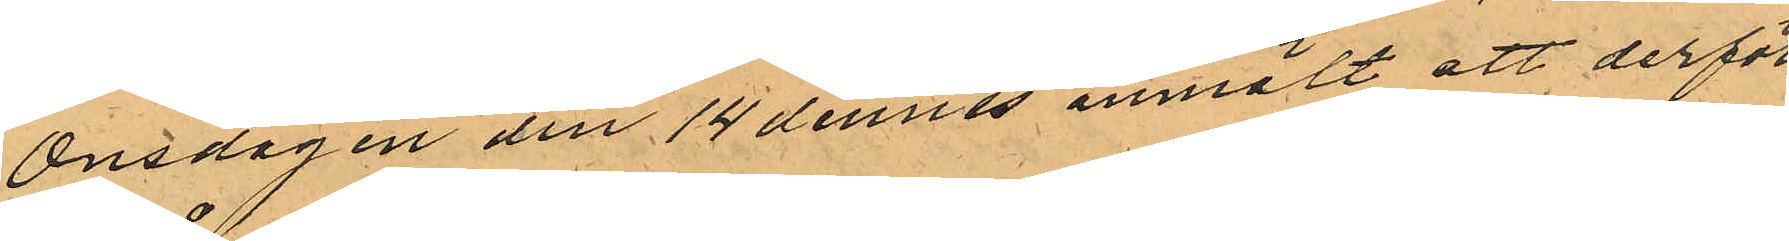Onsdagen den 14 dennes anmält att derför¬
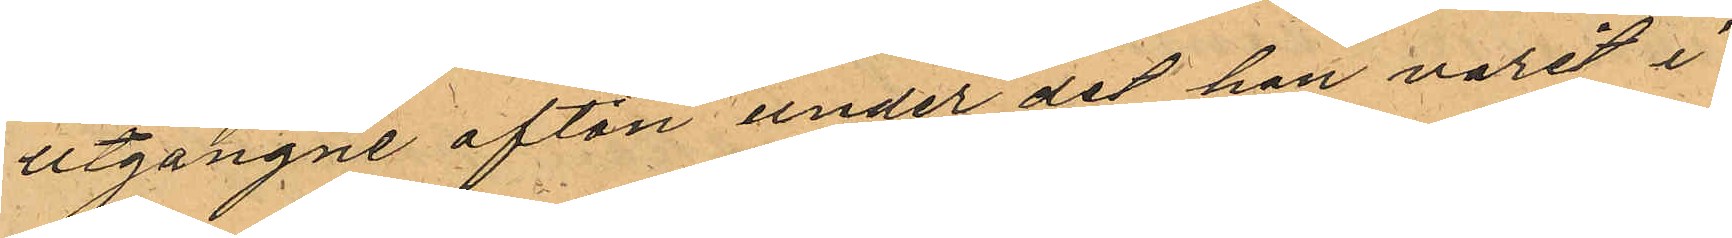utgångne afton under det han varit i
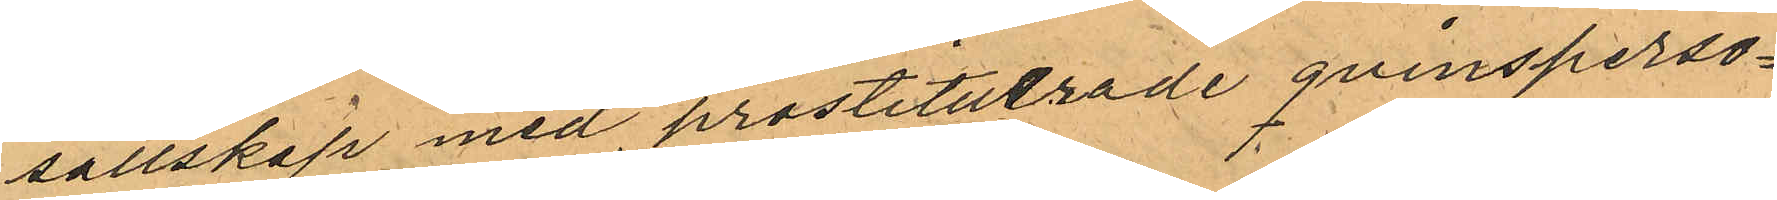sällskap med prostituerade qvinsperso¬
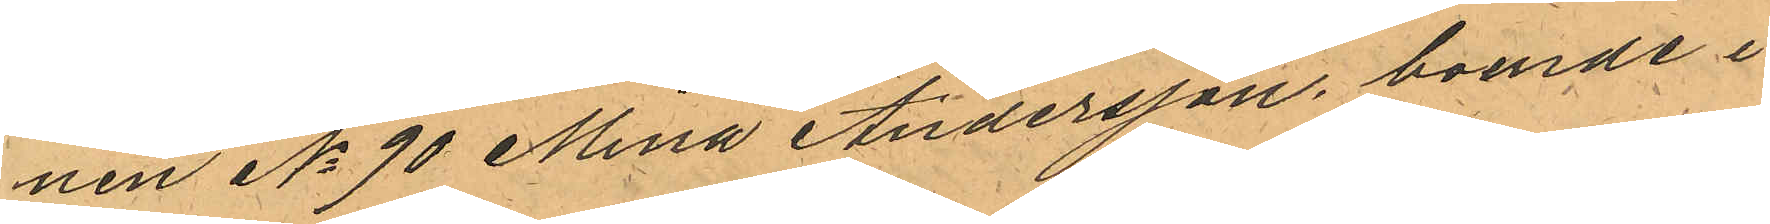nen No 90 Mina Andersson boende i
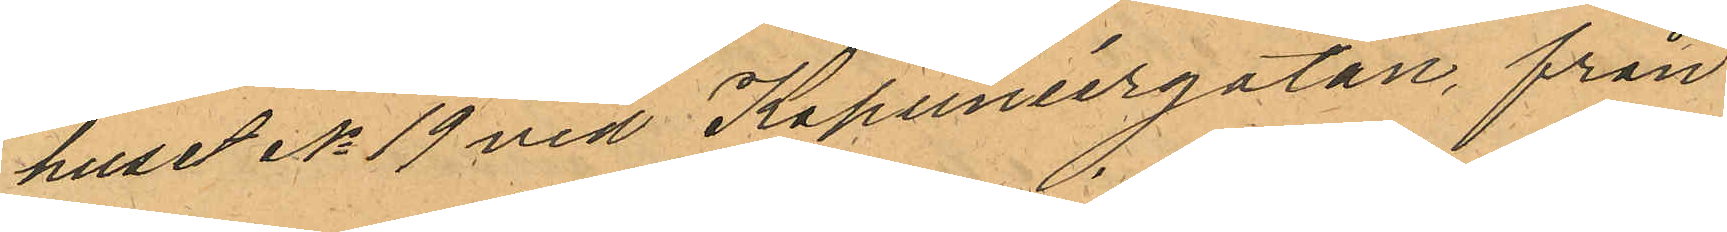huset No 19 vid Kapuniergatan från
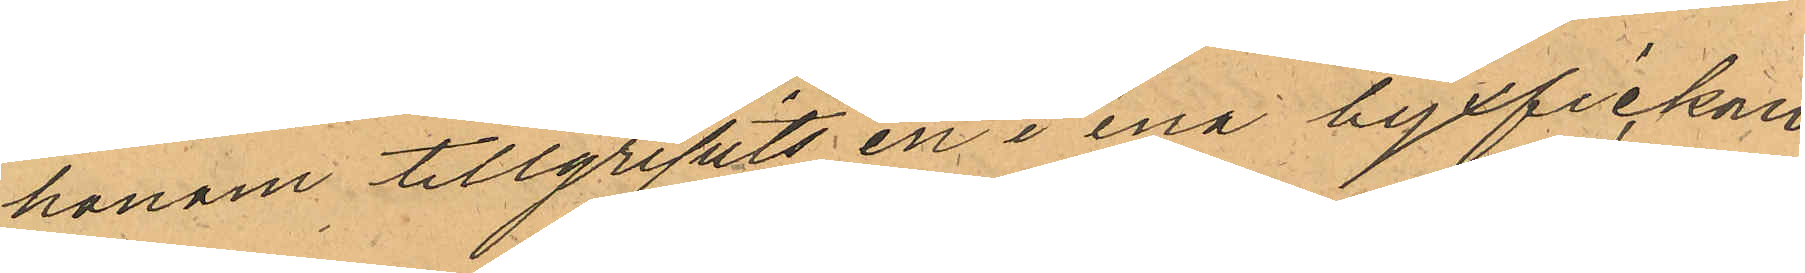honom tillgripits en i ena byxfickan
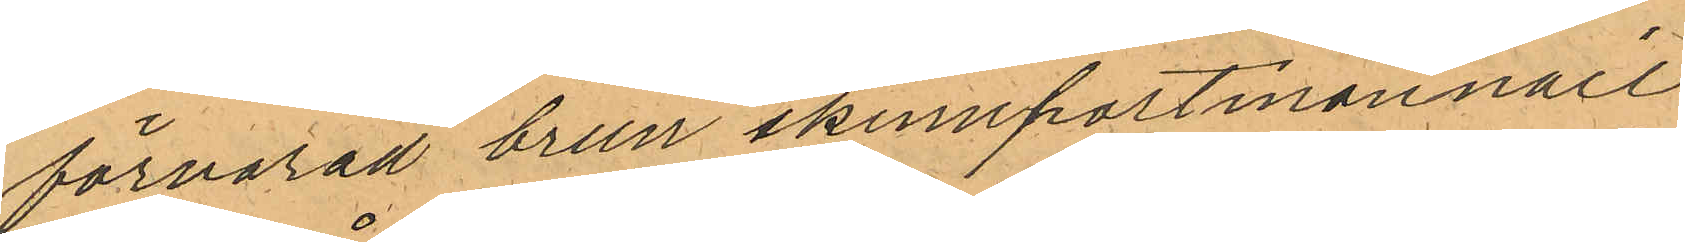förvarad brun skinnportmonnaie
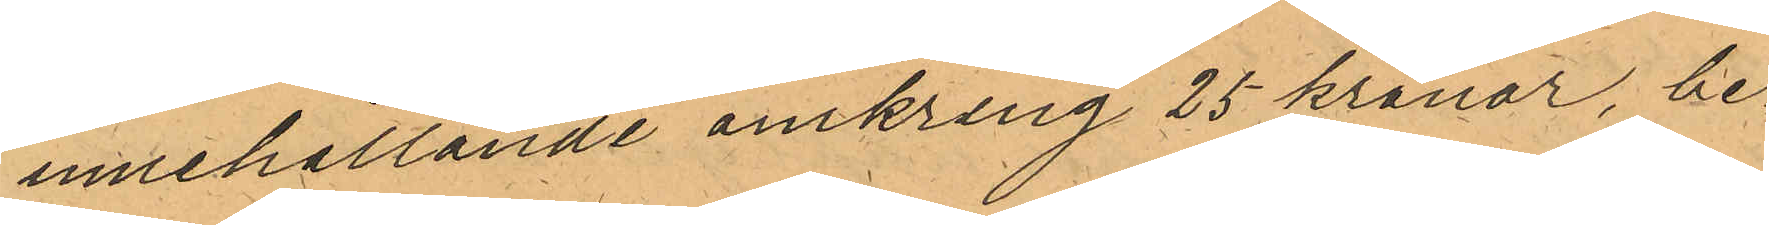innehållande omkring 25 kronor, be¬
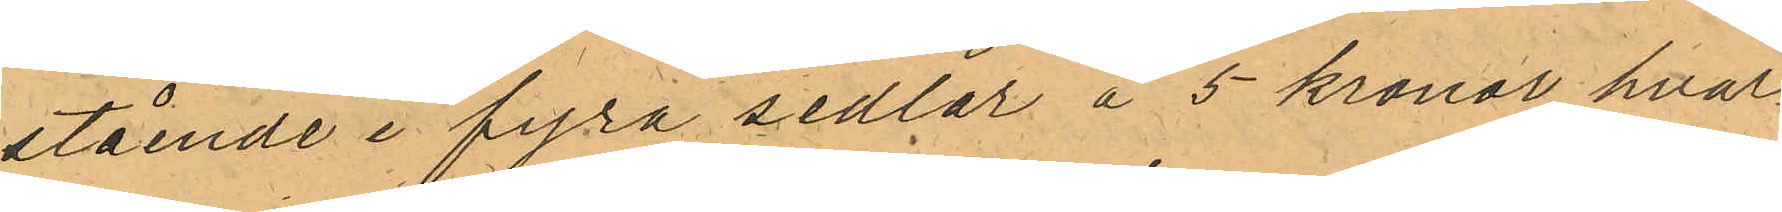stående i fyra sedlar å 5 kronor hvar¬
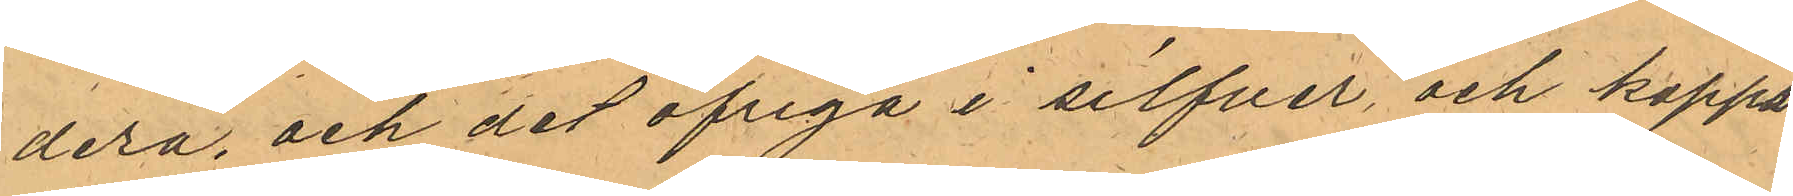dera, och det öfriga i silfver och koppar¬
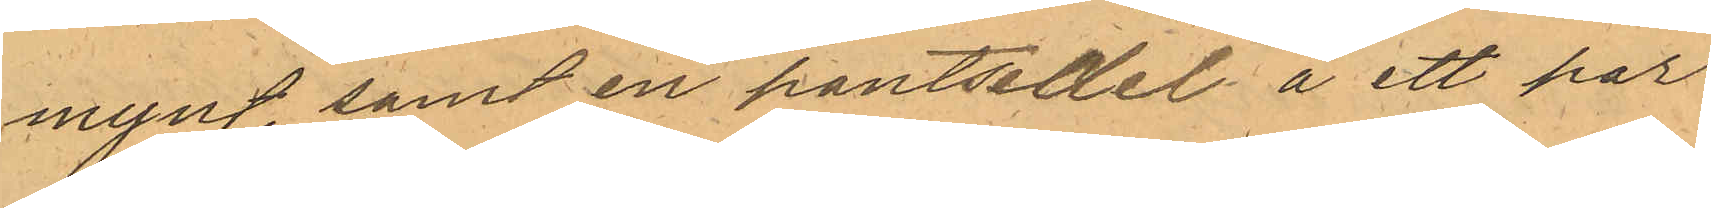mynt, samt en pantsedel å ett par
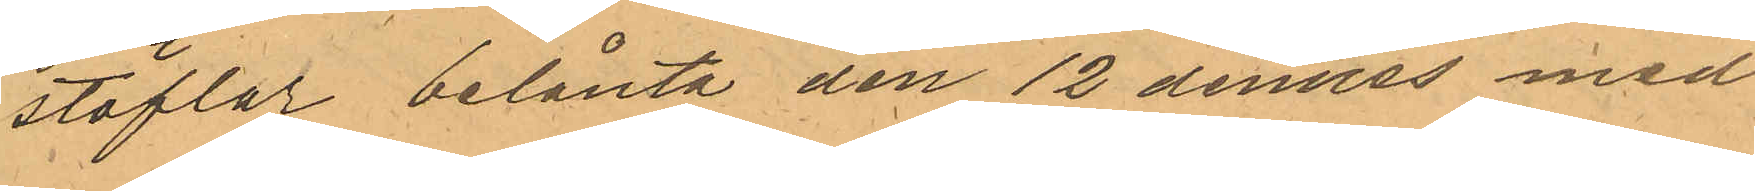stöflar belånta den 12 dennes med
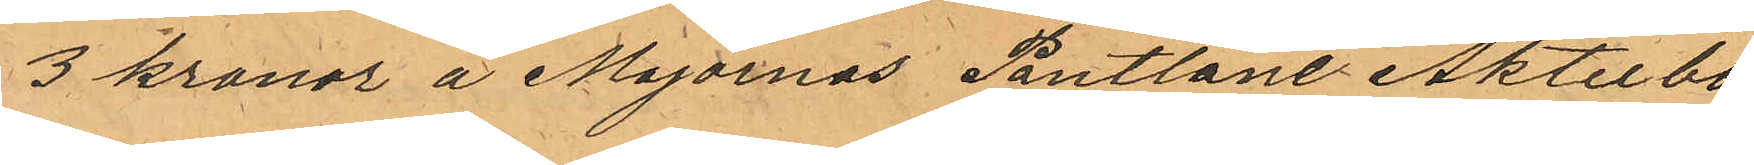3 kronor å Majornas Pantlåne Aktiebo¬
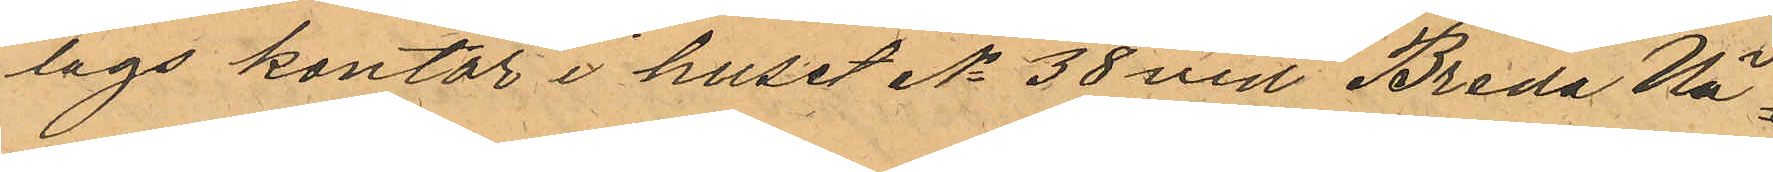lags kontor i huset No 38 vid Breda Vä¬
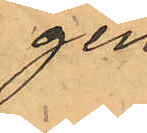gen
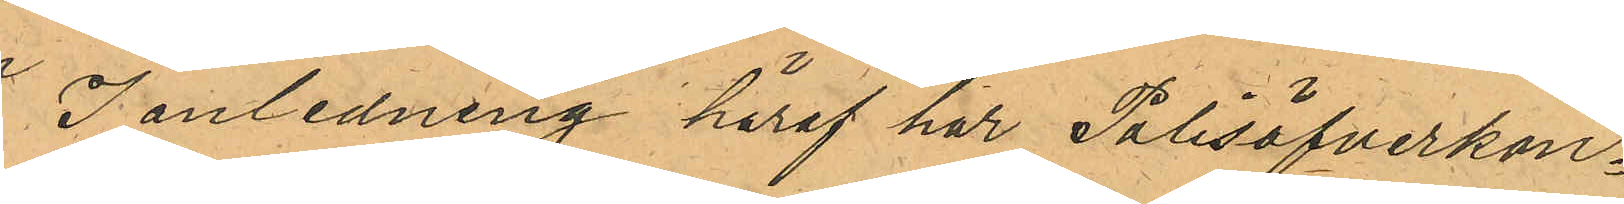I anledning häraf har Polisöfverkon¬
